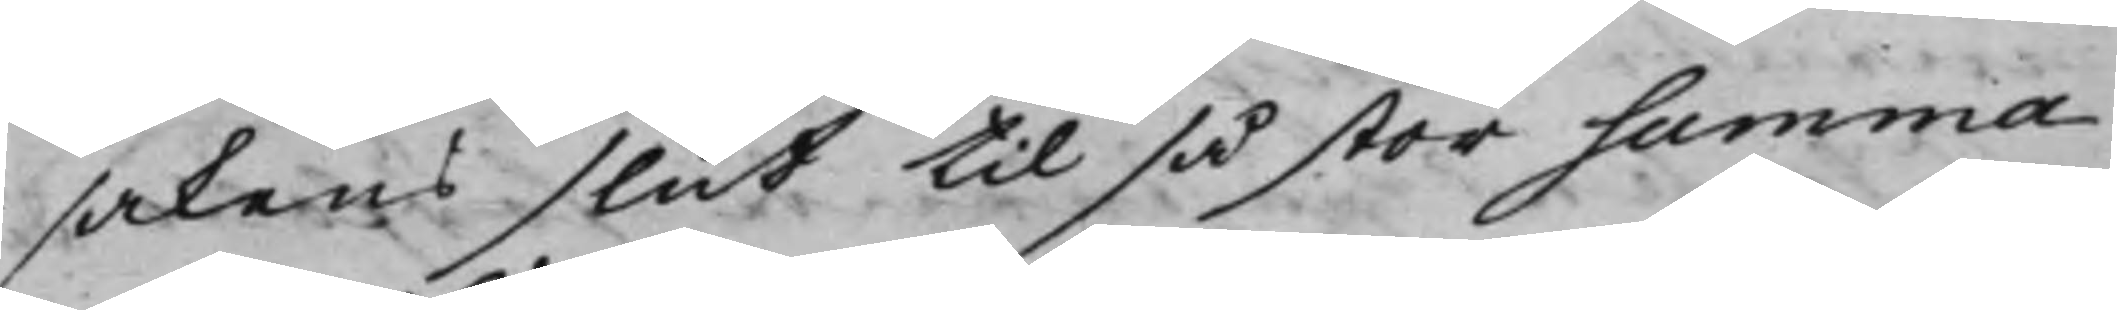sakens slut til så stor summa
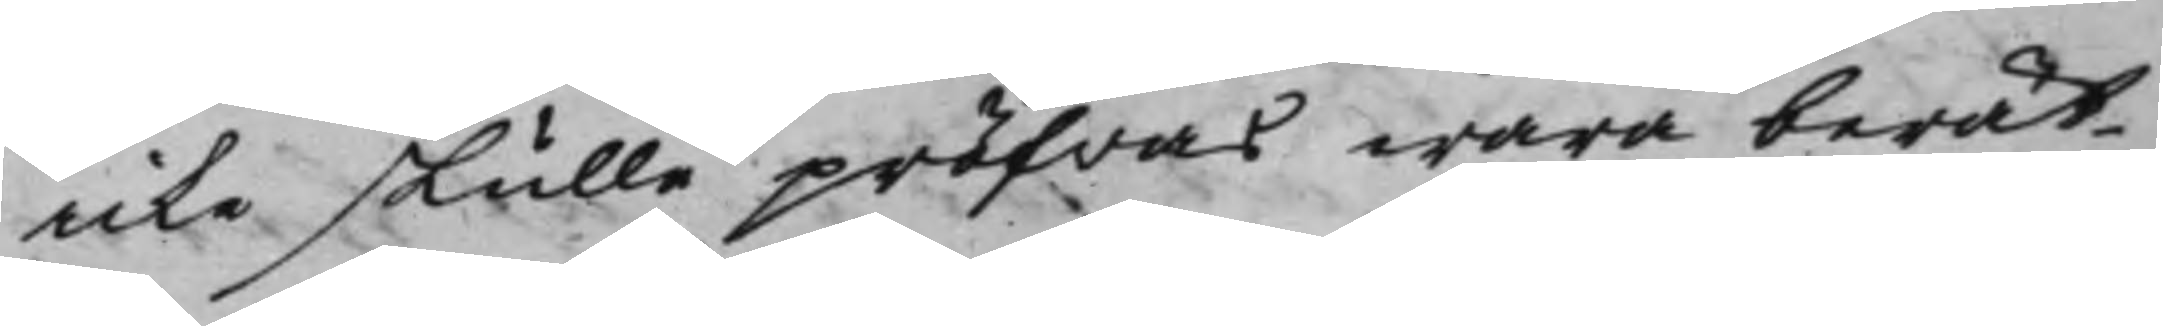icke skulle pröfwas wara berät¬
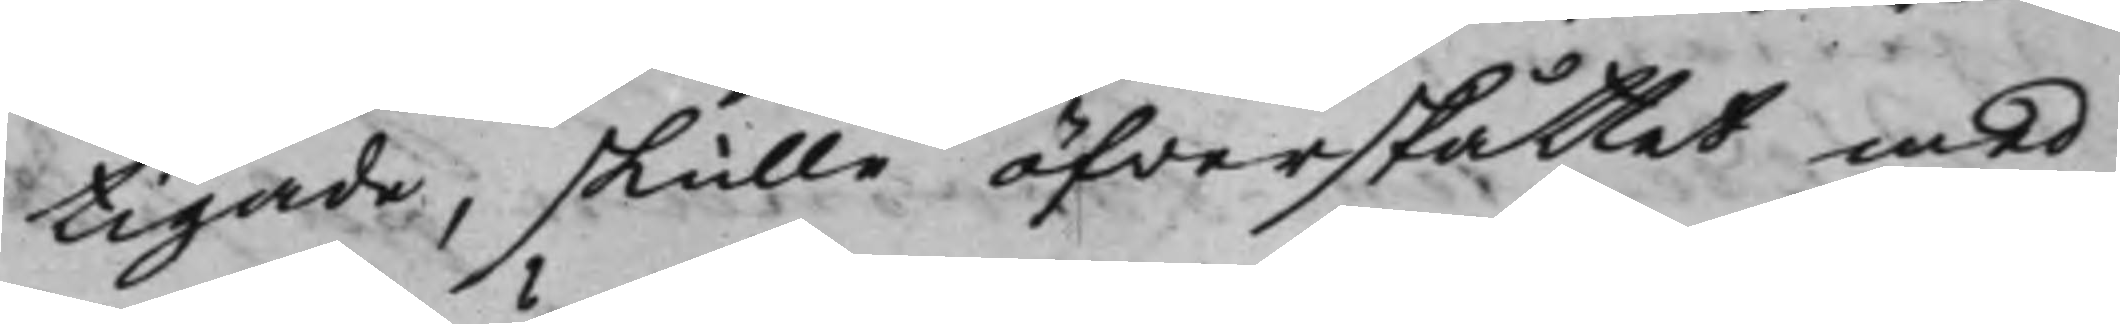tigade, skulle öfwerskåttet med
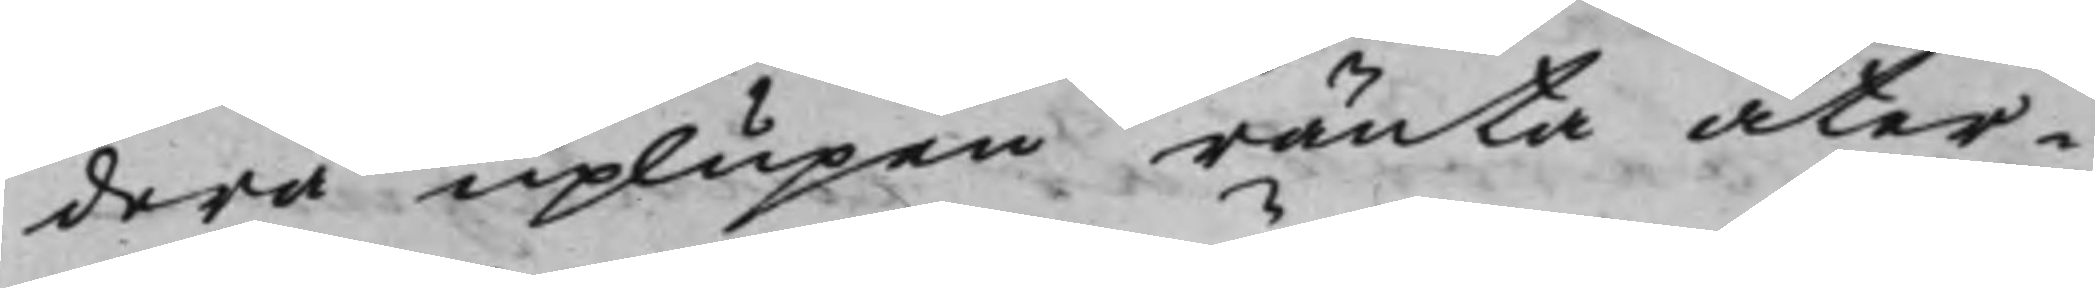derpå uplupen ränta åter¬
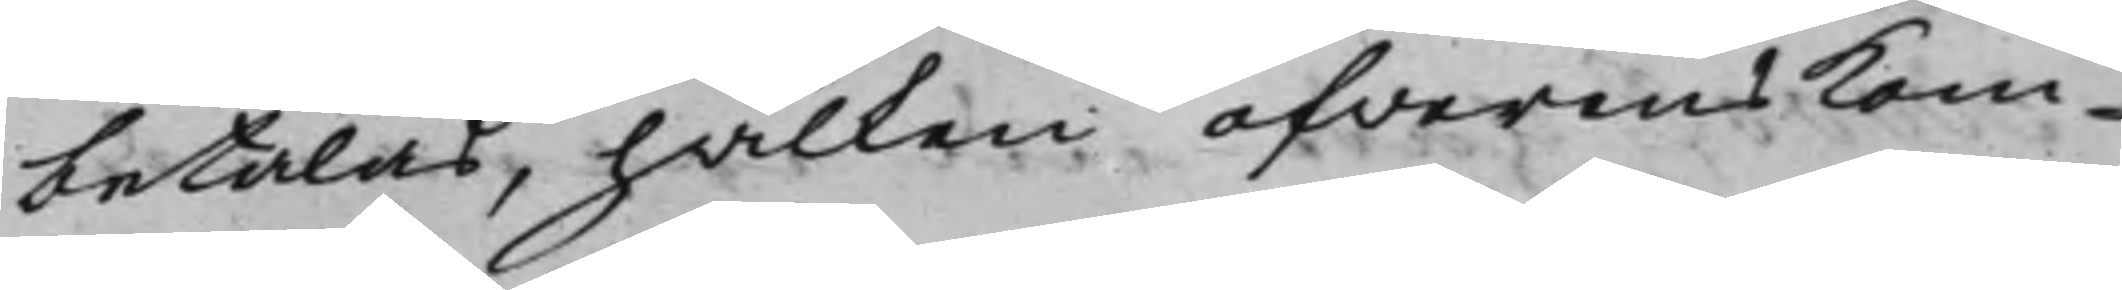betalas, hvilken öfverenskom¬
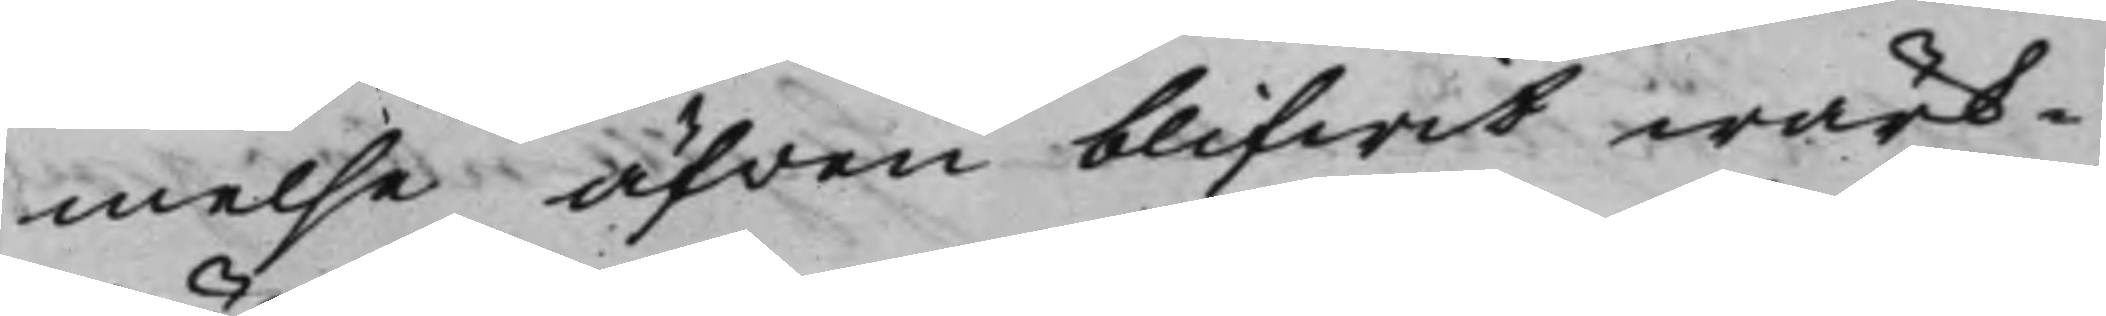melse äfven blifwit wärk¬
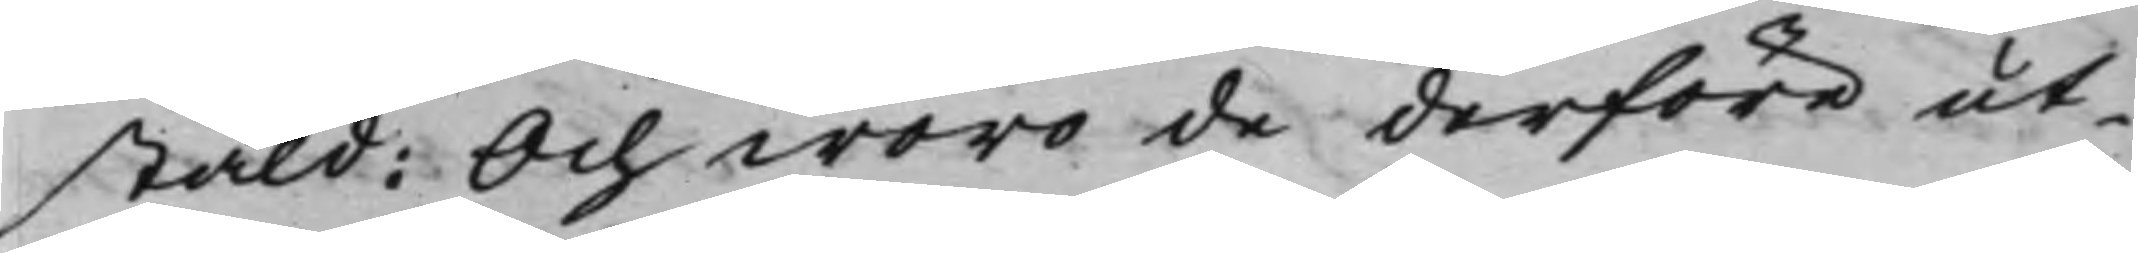stäld: Och woro de derföre ut¬
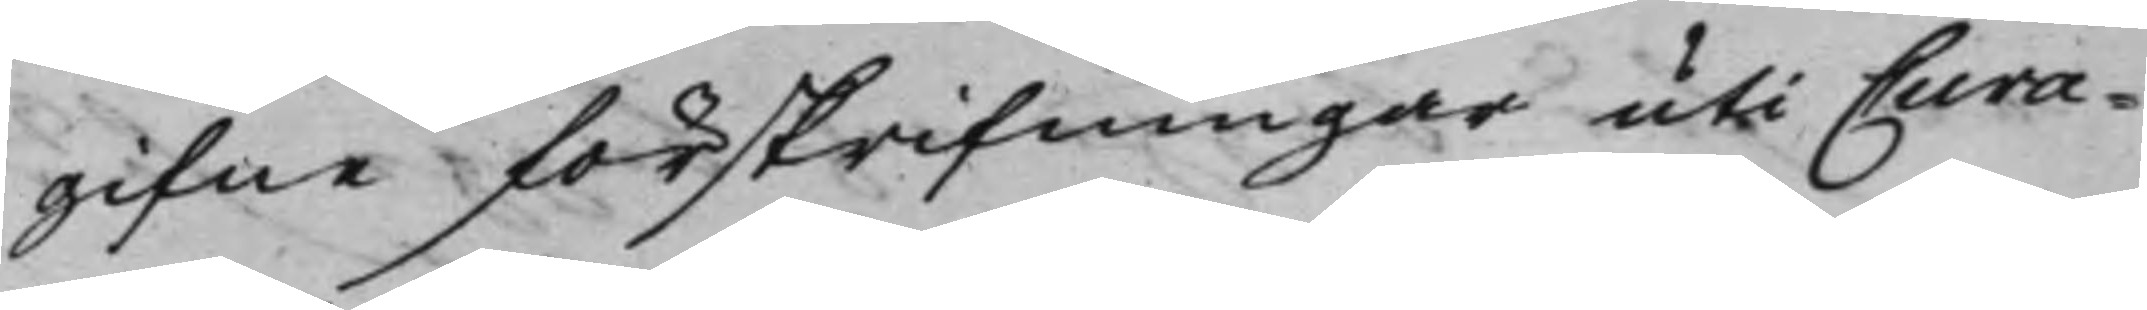gifne förskrifningar uti Cura¬
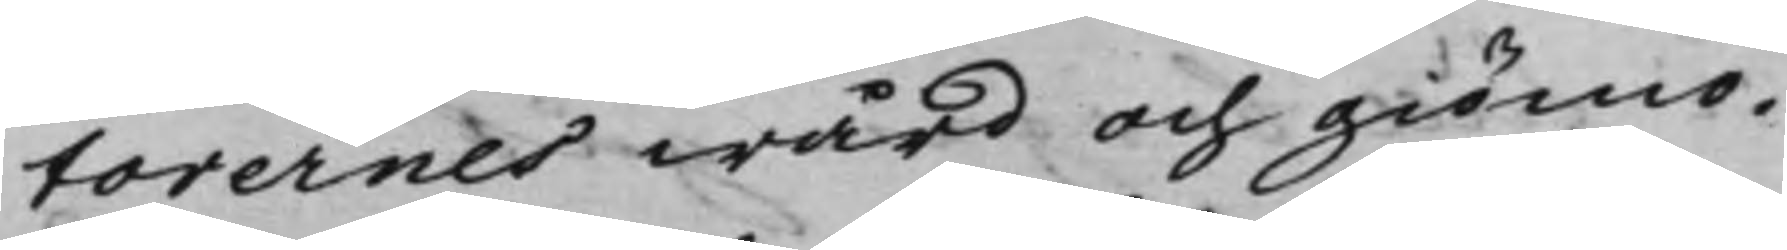torernes wård och giömo.
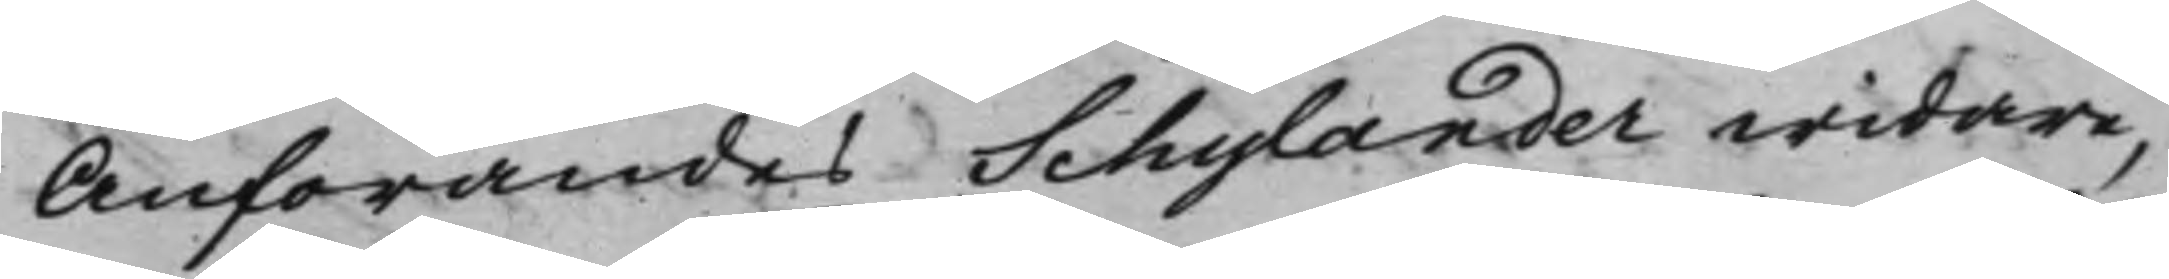Anförandes Schylander widare,
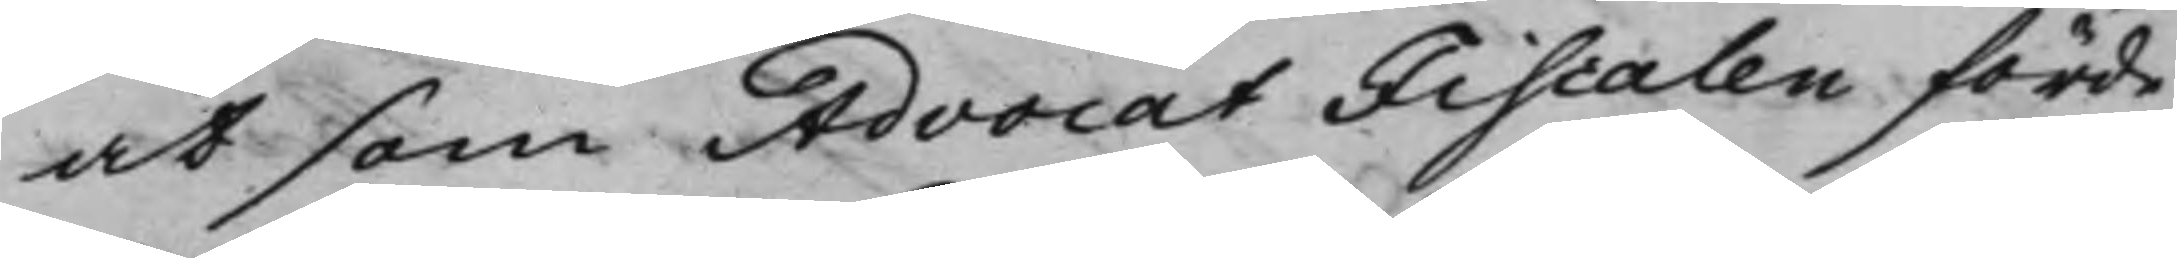at som AdvocatFiscalen förde
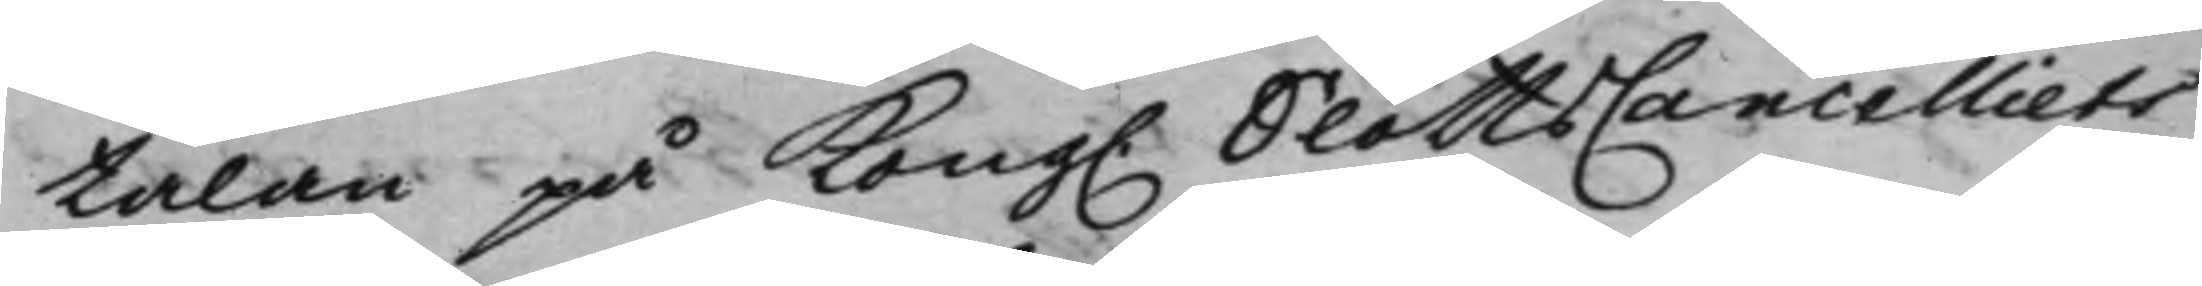talan på Kong. SlottsCancelliets
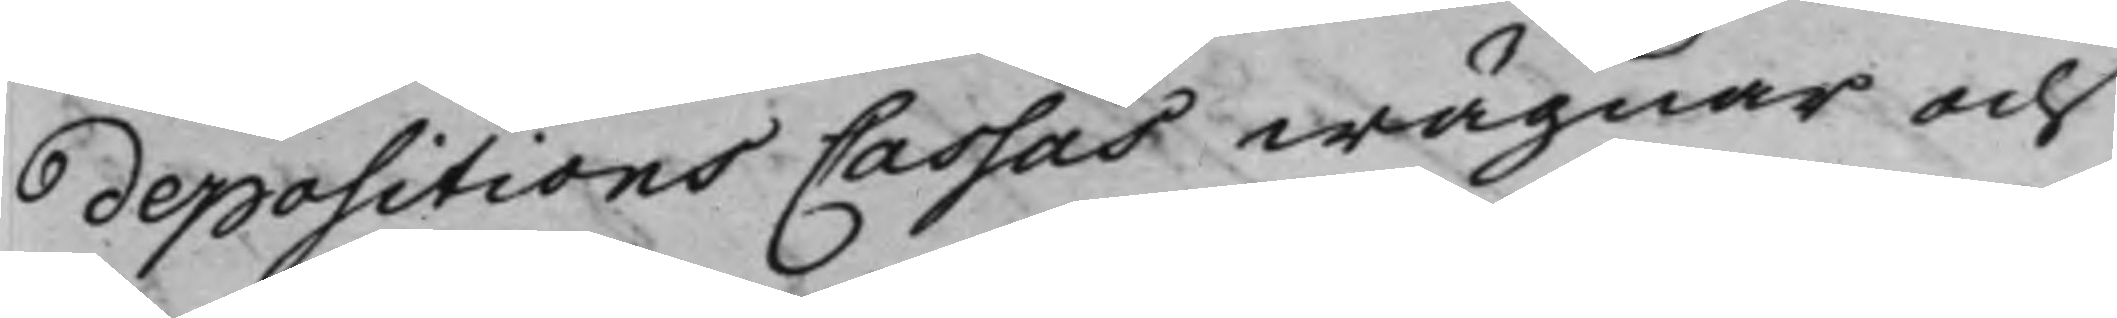depositionsCassas wägnar och
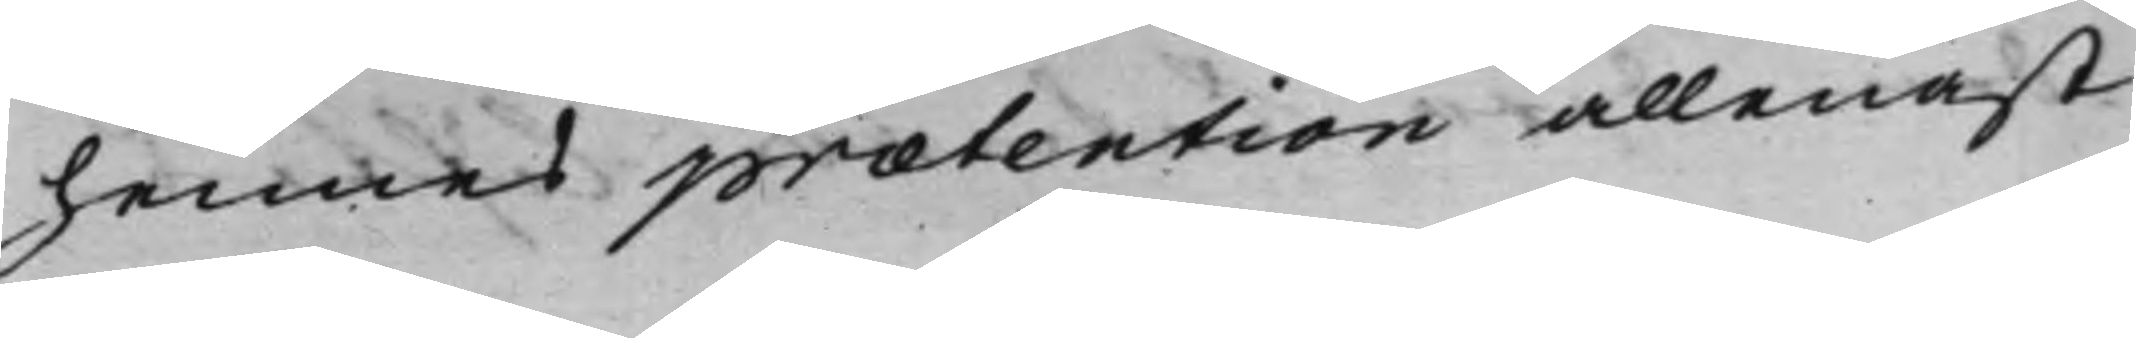hennes prætention allenast
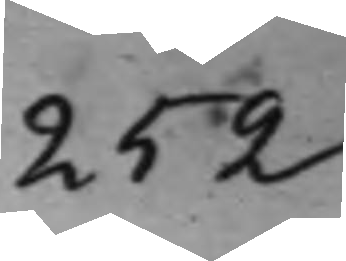252
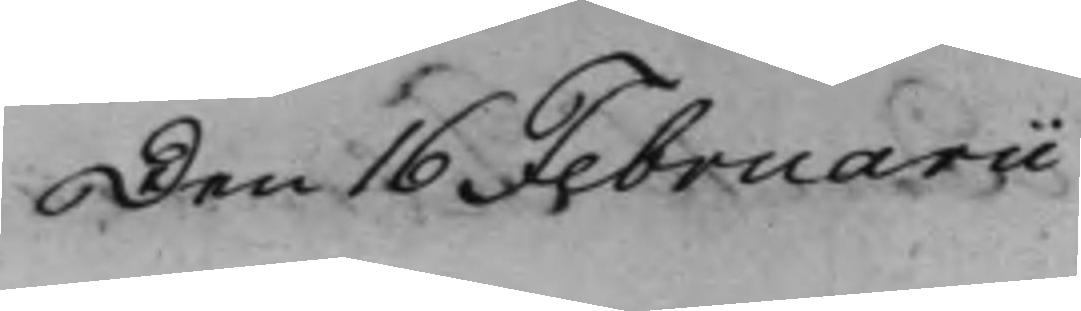Den 16 Februarii
